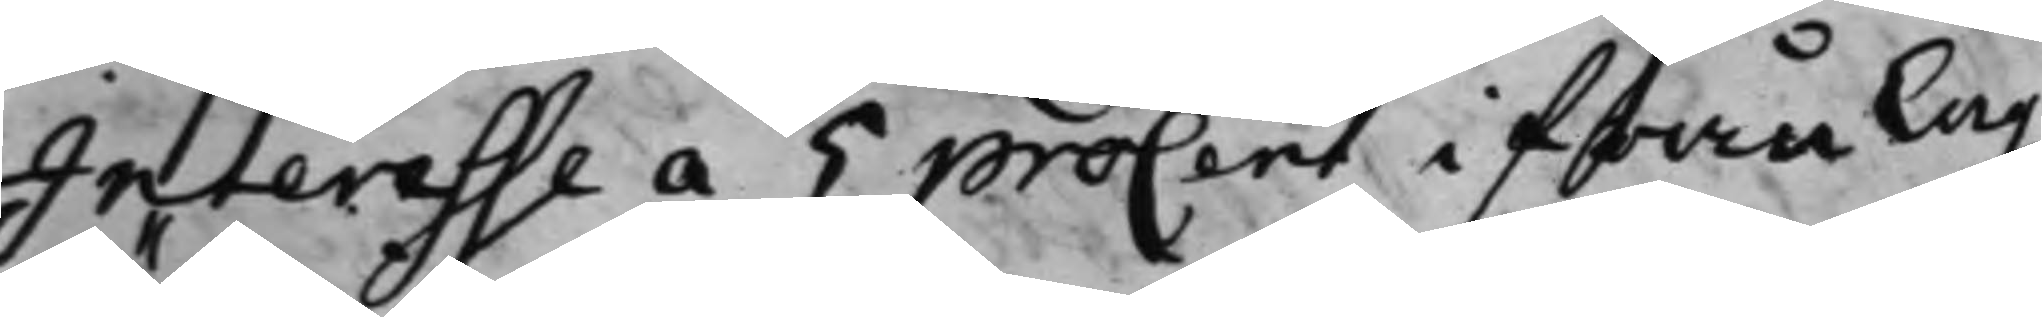Interesse a 5 procent ifrån Lag¬
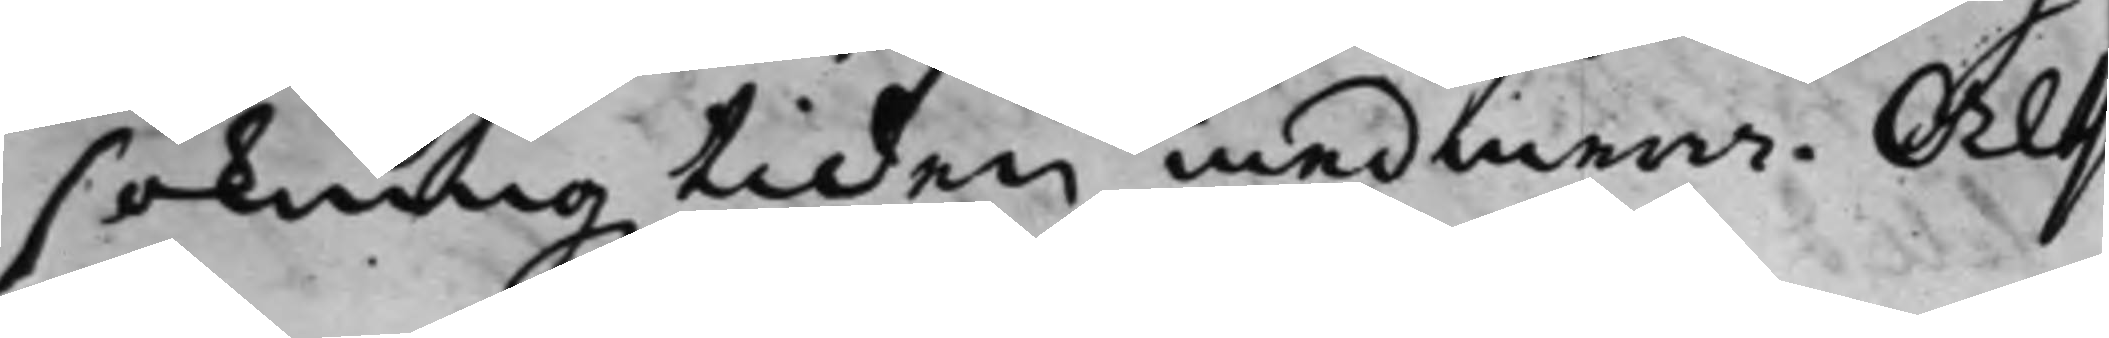sökningz tiden med mera. Alts
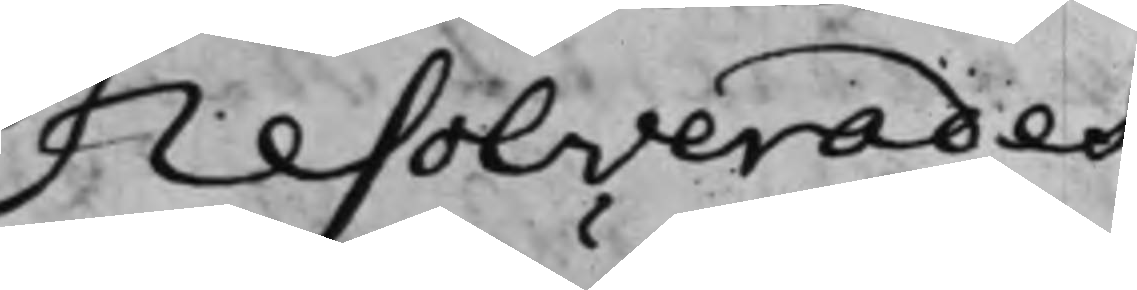Resolverades
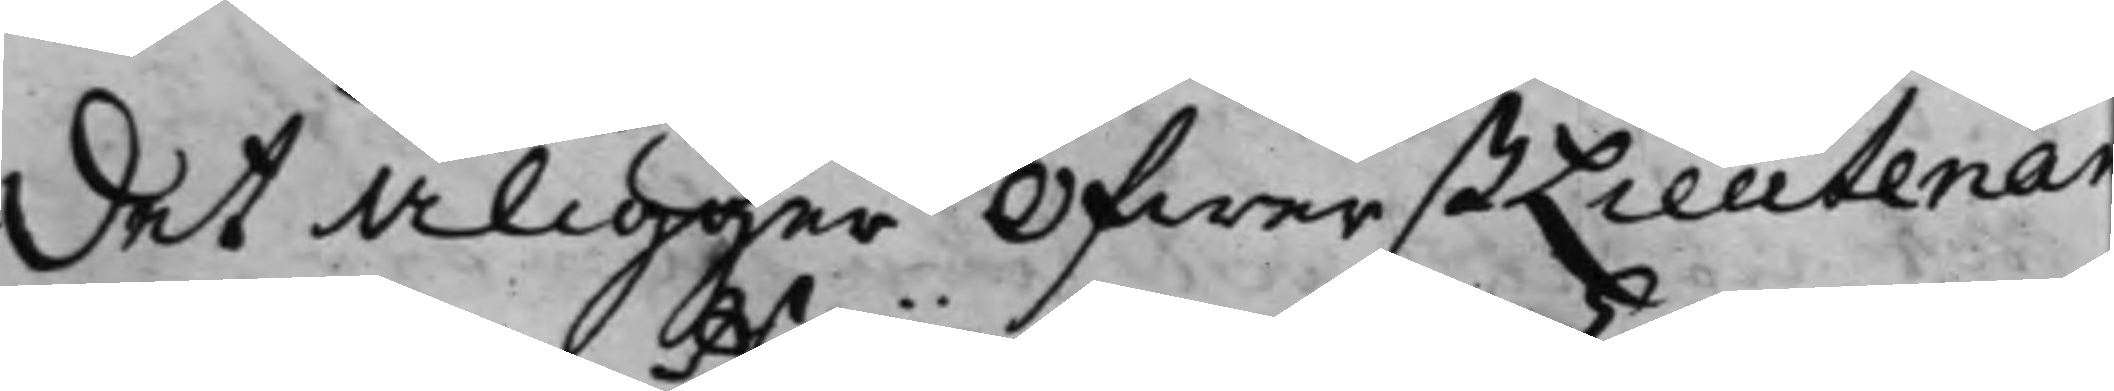Det Åligger ÖfwerstLieutenan¬
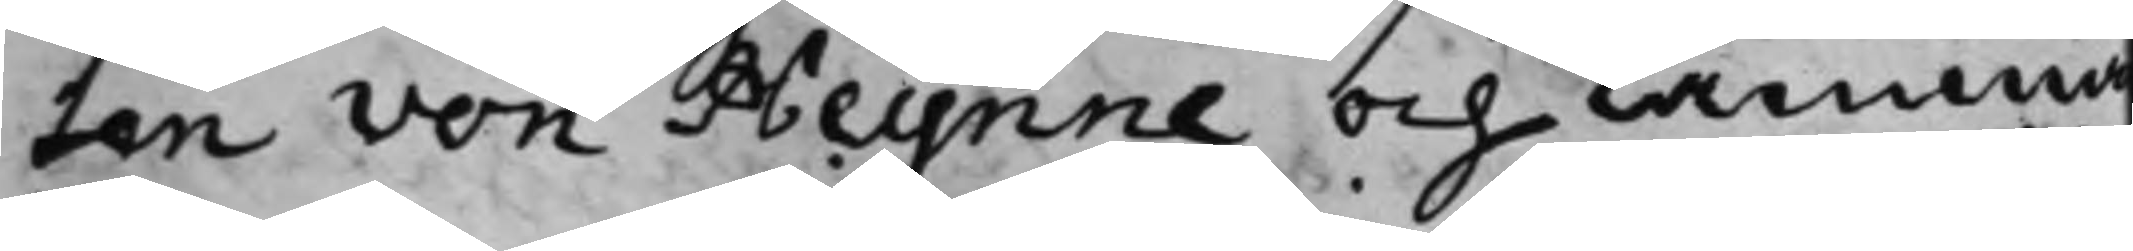ten von Heynne och Camma
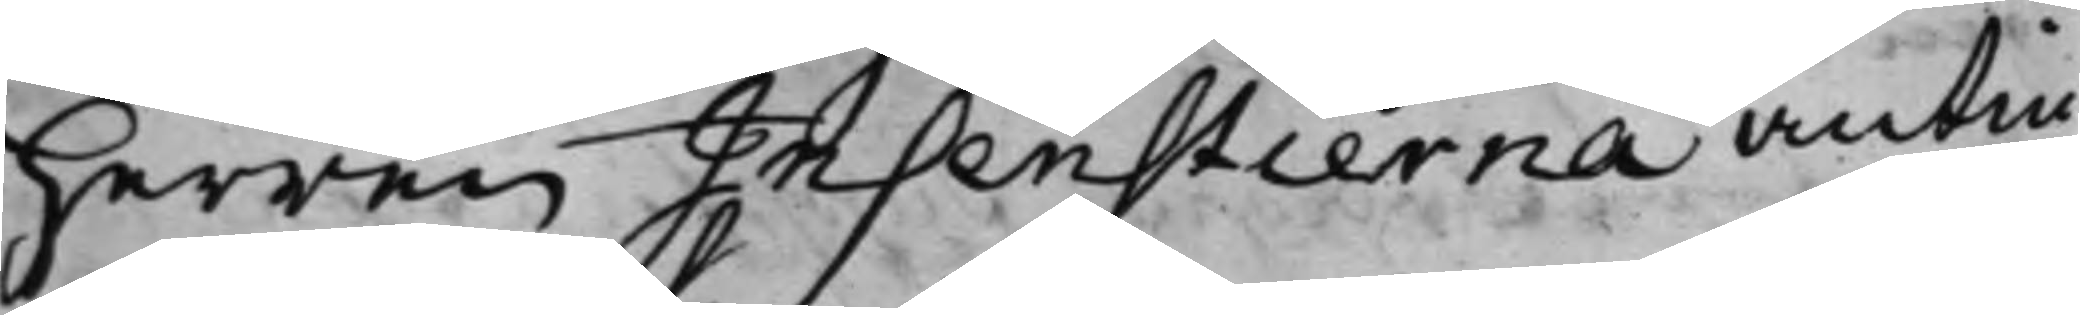Herren Insenstierna antin¬
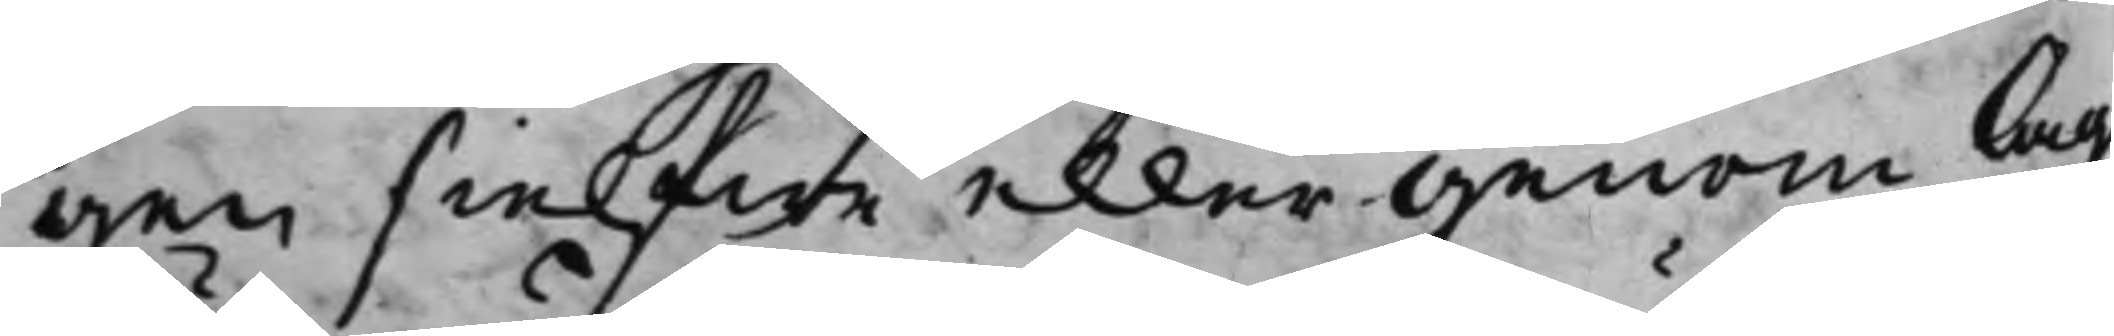gen sielfwe eller genom Lag
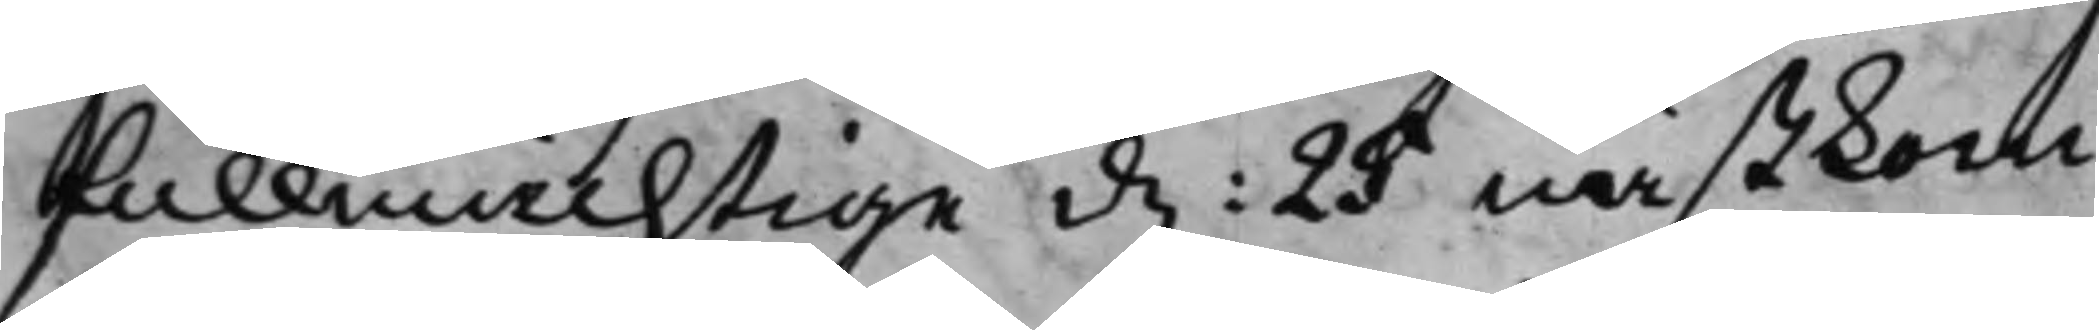fullmächtige d. 25 nästkom¬
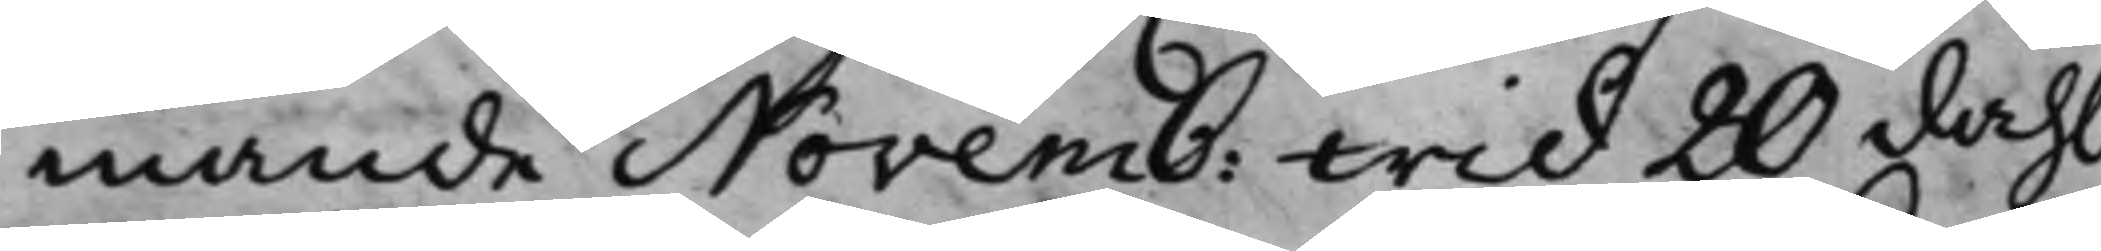mande Novemb: wid 20 dahl
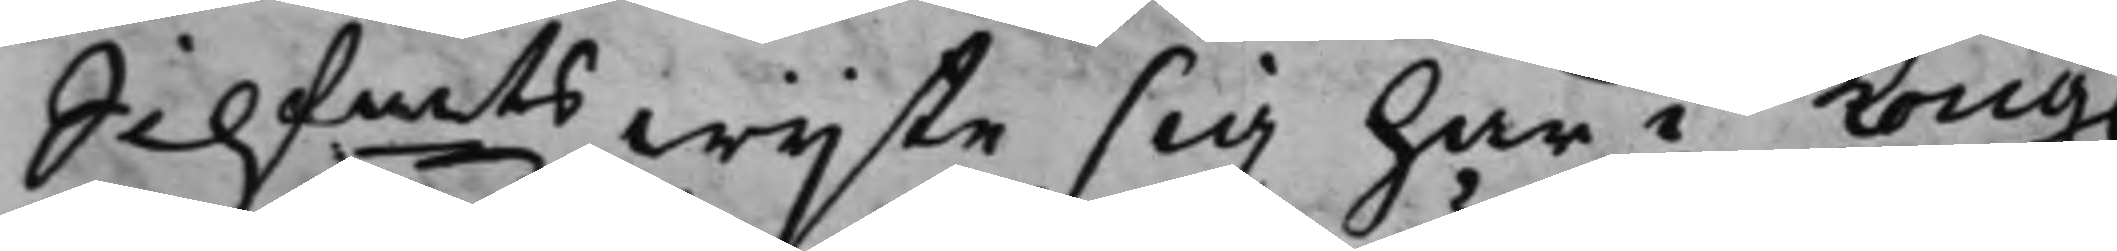Silfmts wijte sig här i Kong.
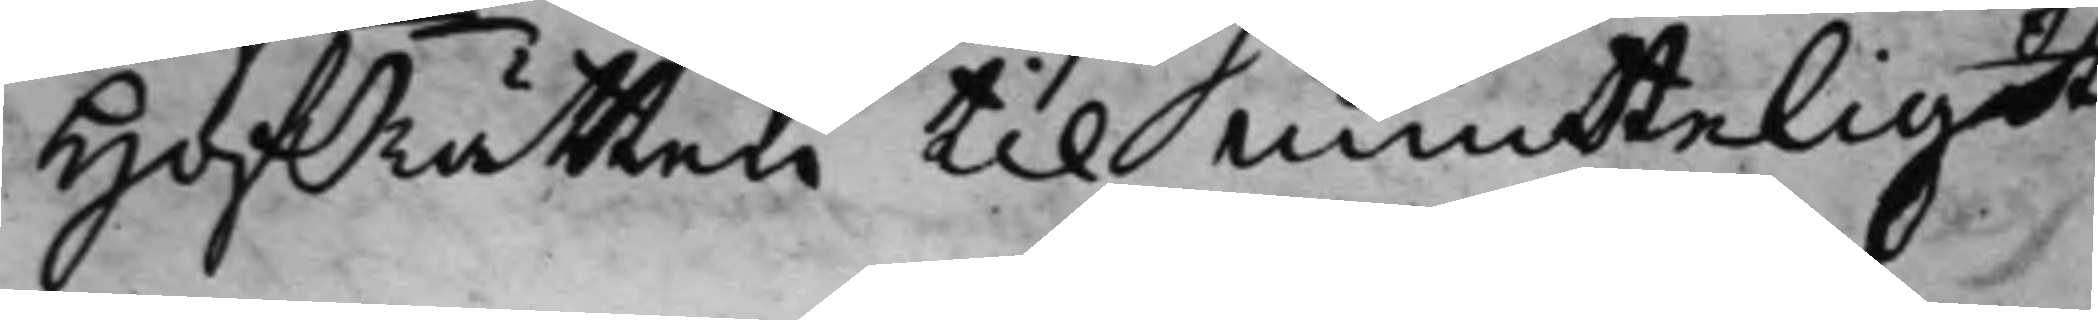HofRätten til Munteligdt
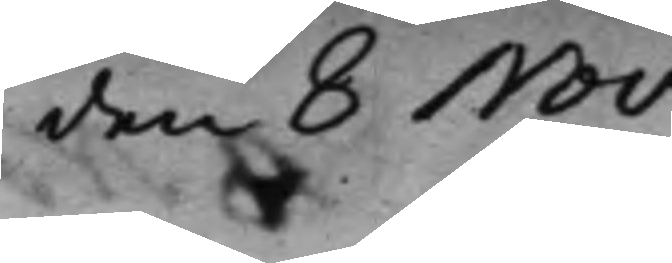den 8 Nov.
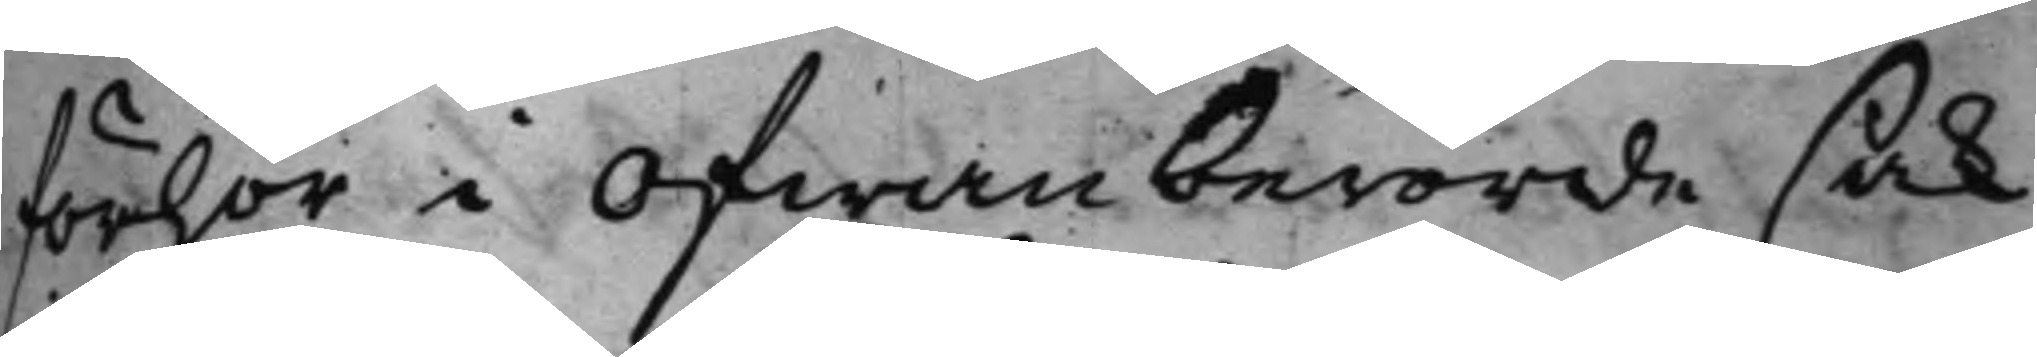förhör i Ofwanberörde sak
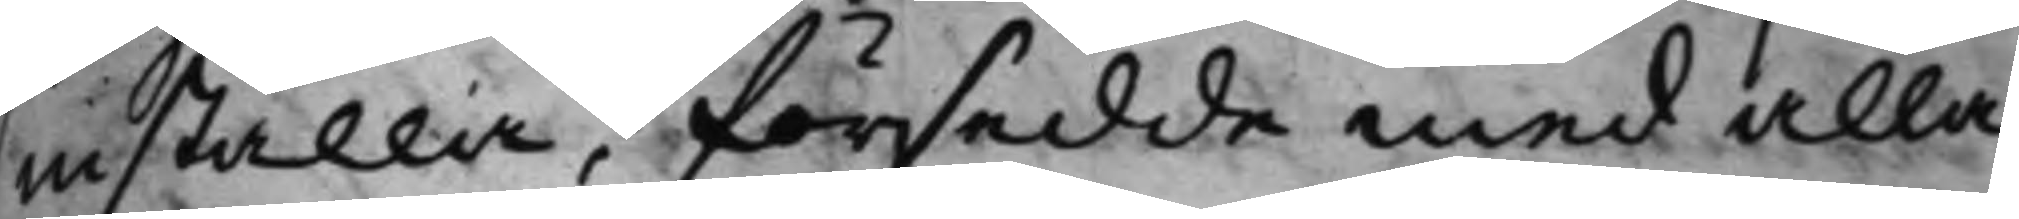inställa, försedde med alla
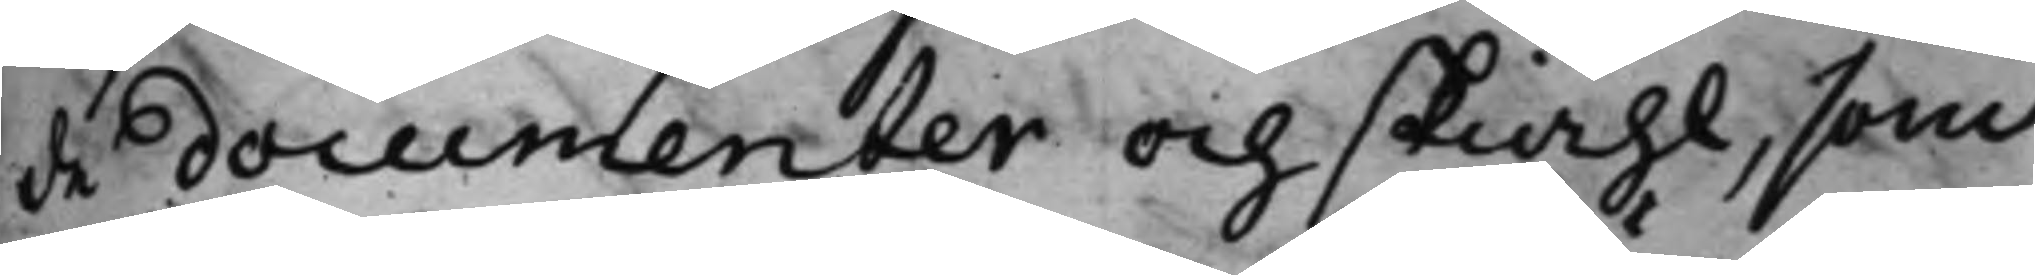de documenter och skiähl, som
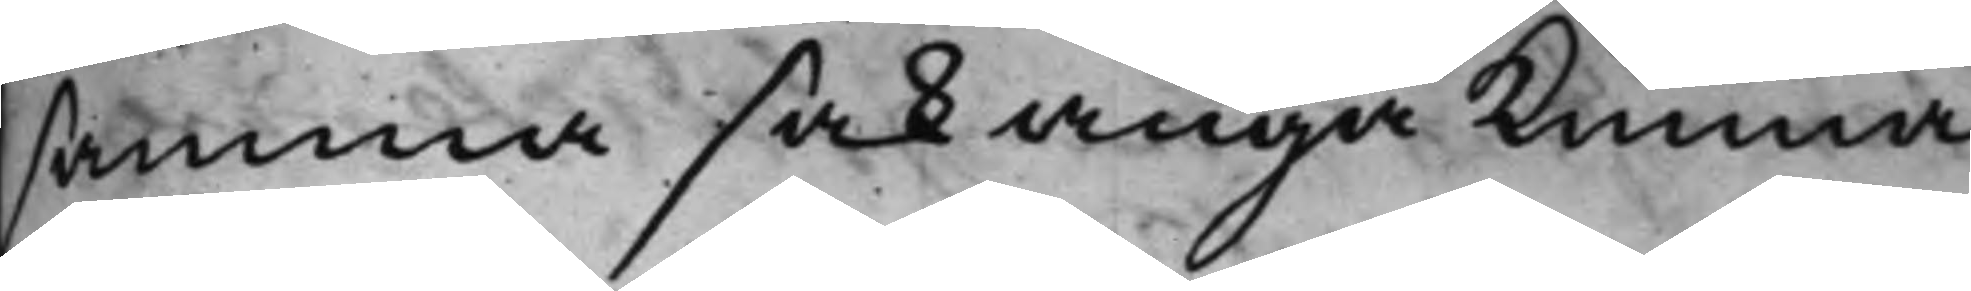samma sak angå kunna.
